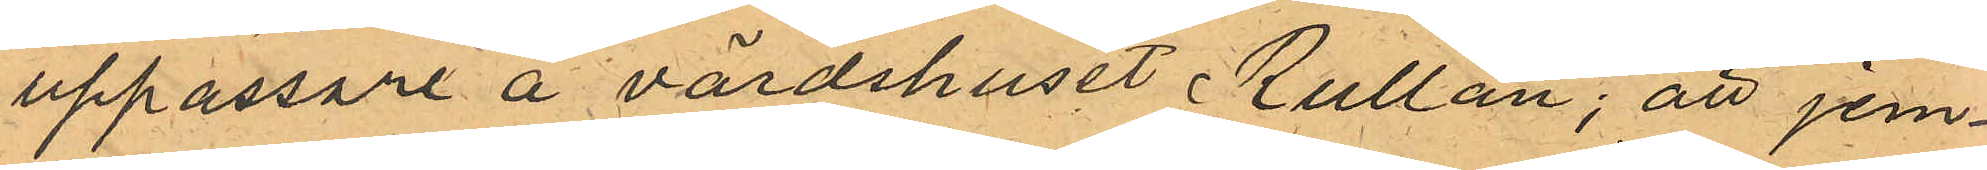uppassare å värdshuset Rullan; att jem¬
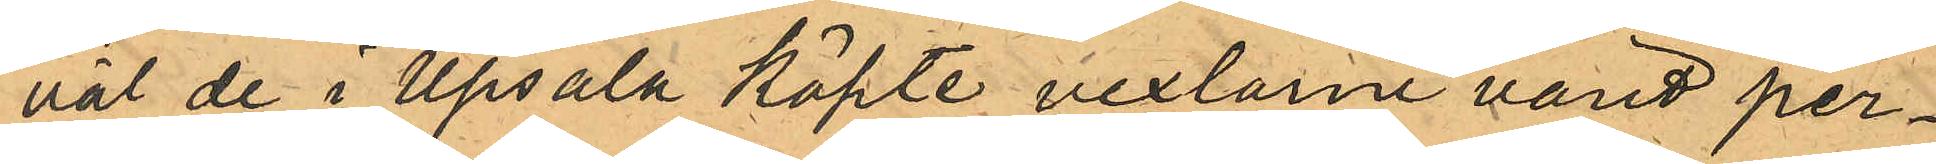väl de i Upsala köpte vexlarne varit per¬
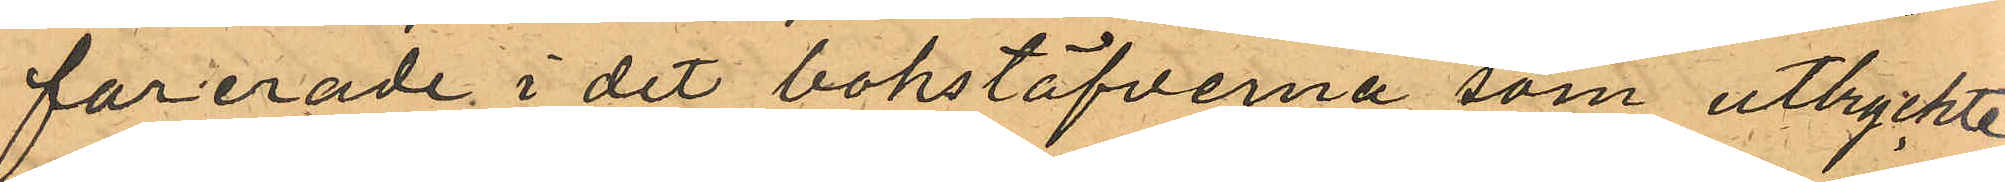forerade i det bokstäfverna som uttryckte
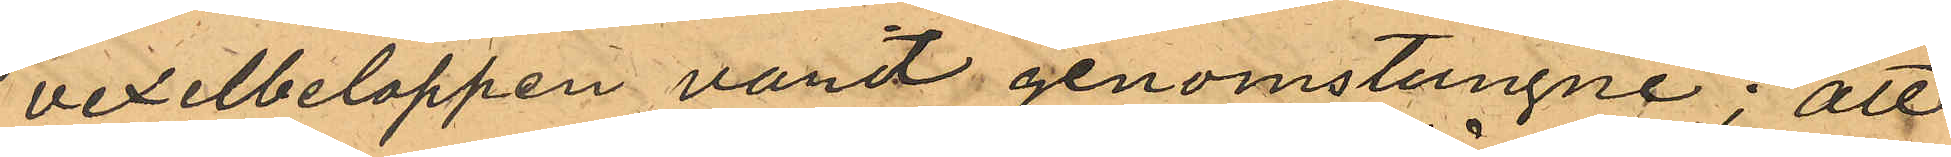vexelbeloppen varit genomstungne; att
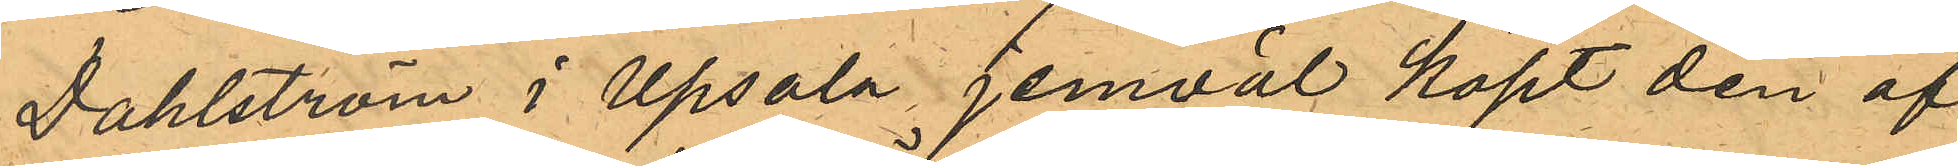Dahlström i Upsala, jemväl köpt den af
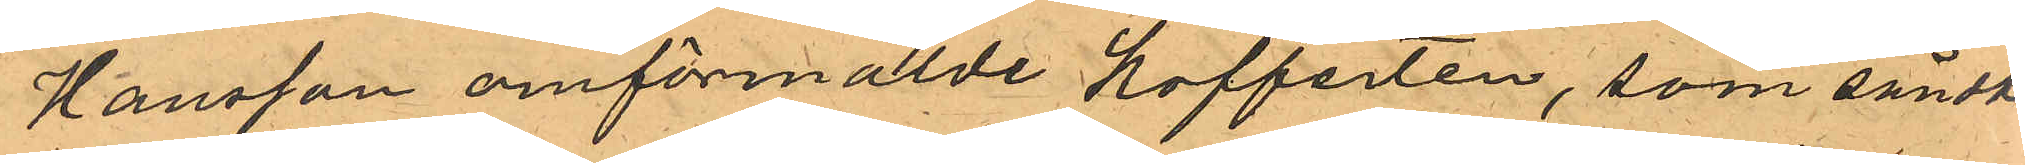Hansson omförmälde Kofferten, som sändts
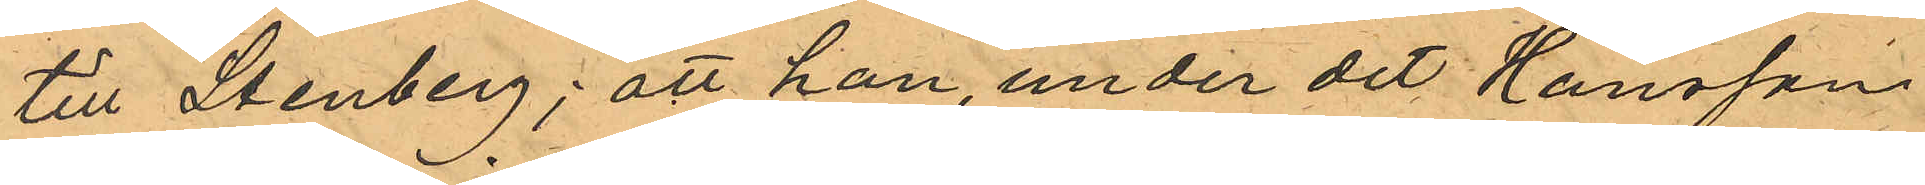till Stenberg; att han, under det Hansson
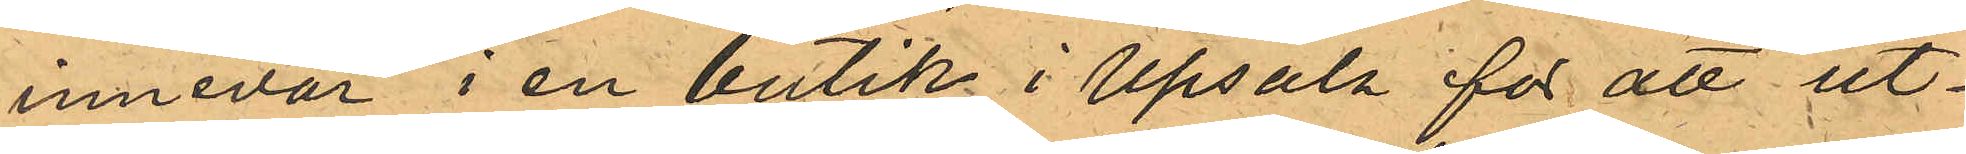innevar i en butik i Upsala för att ut¬
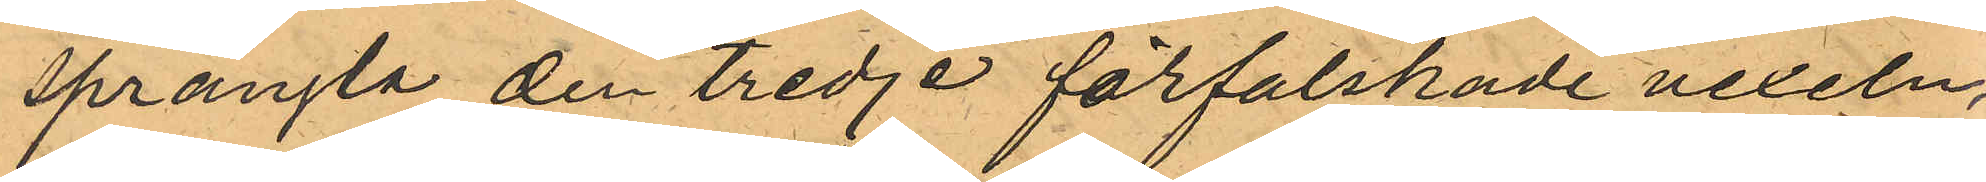prångla den tredje förfalskade vexeln,
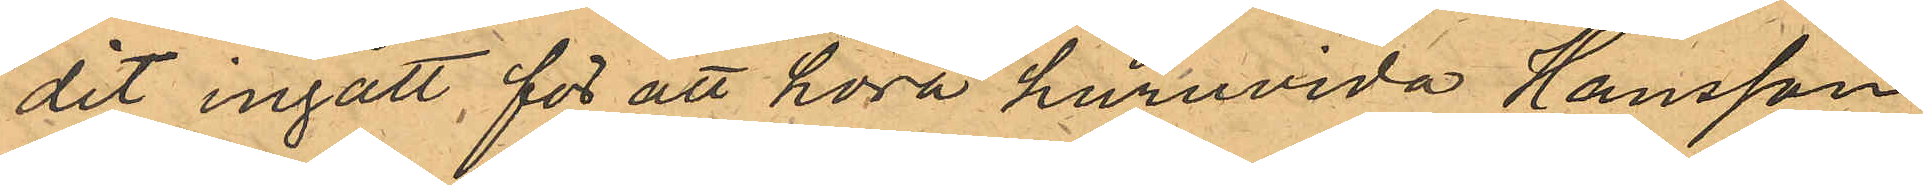dit ingått, för att höra huruvida Hansson
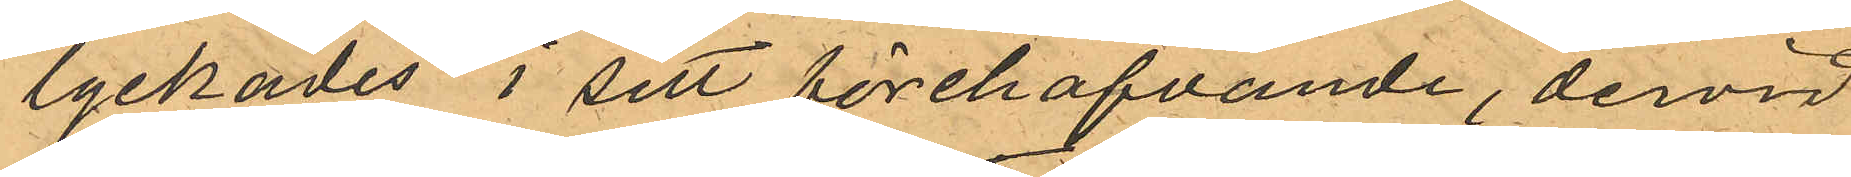lyckades i sitt förehafvande, dervid
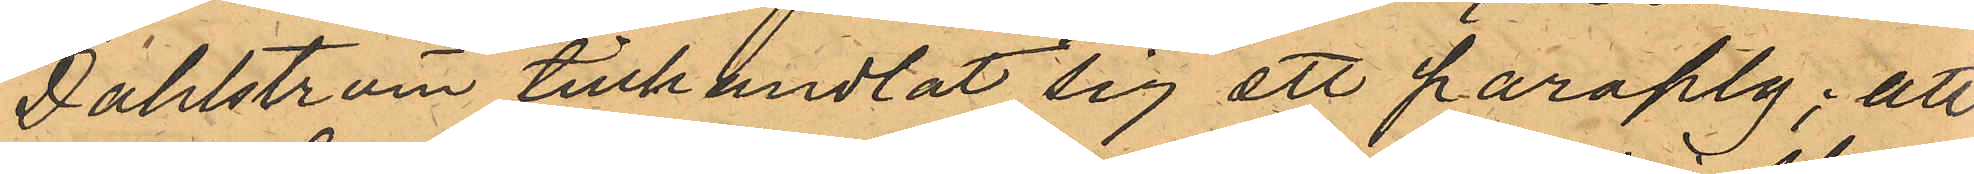Dahlström tillhandlat sig ett paraply; att
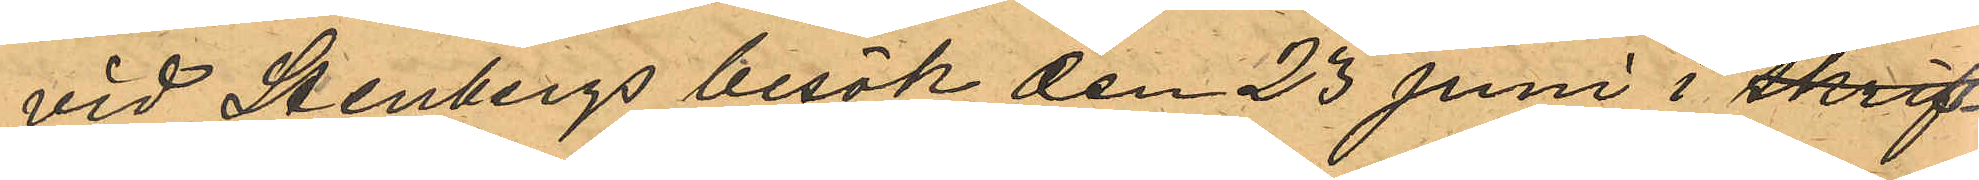vid Stenbergs besök den 23 juni i skrif¬
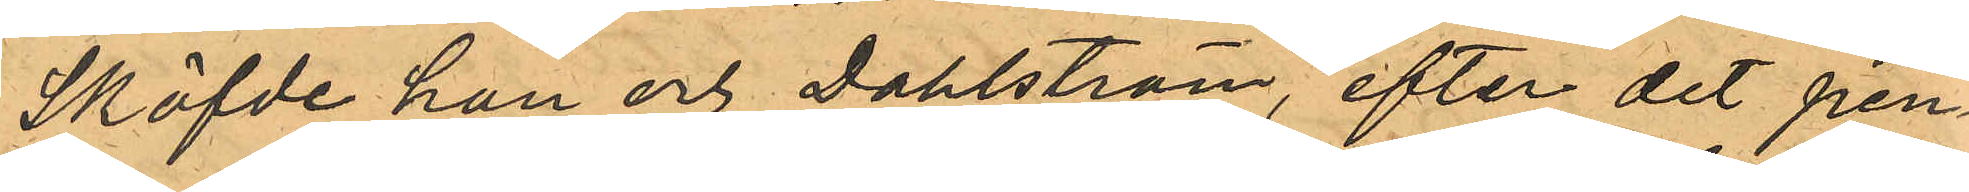Sköfde han och Dahlström, efter det pen¬
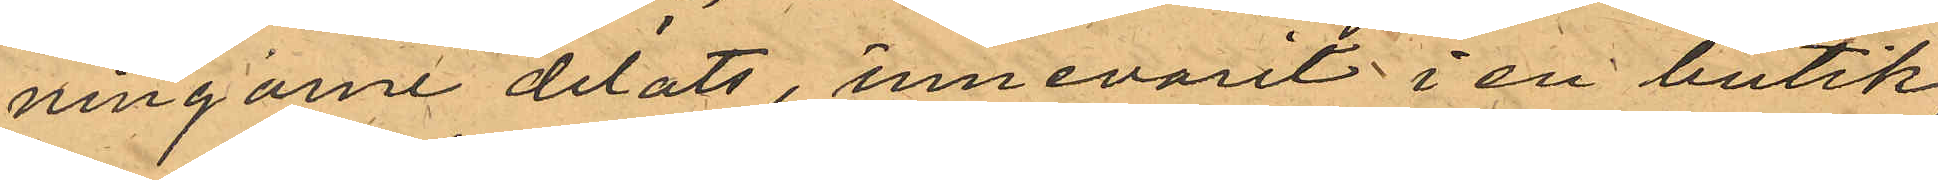ningarne delats, innevarit i en butik
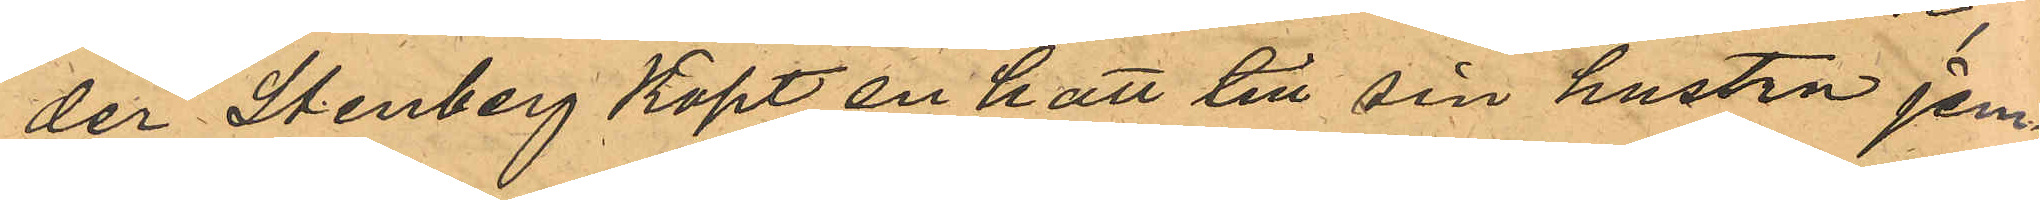der Stenberg köpt en hatt till sin hustru jem¬
